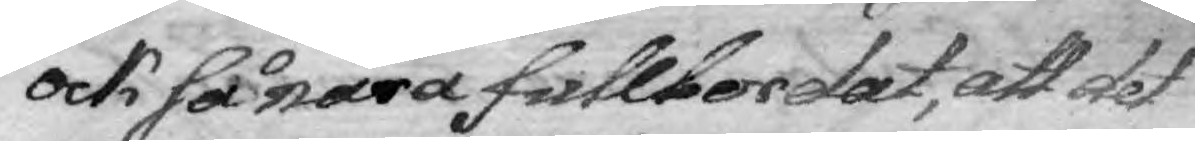ock så nära fullbordat, att det
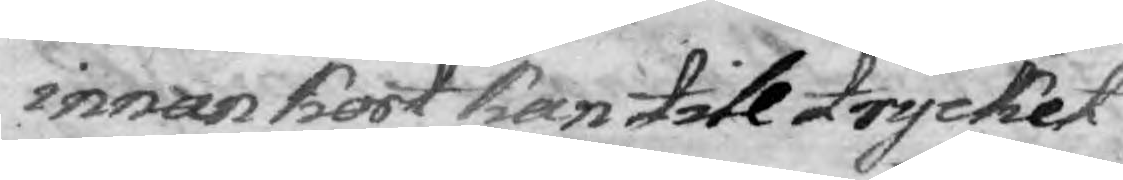innan kort kan till tryck
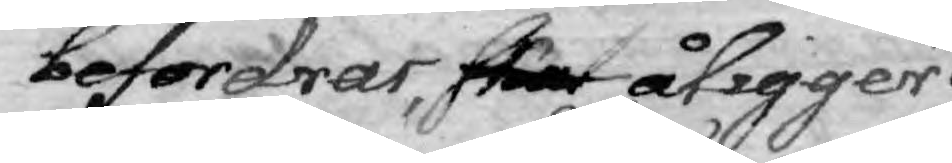befordrar, skal åligger
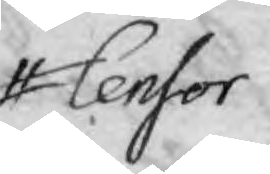Censor
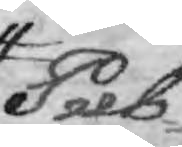Pub¬
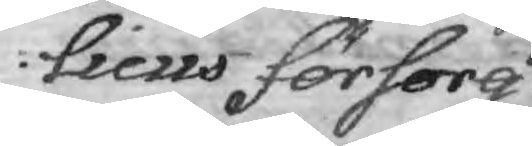lcus försorg
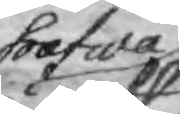hafwa
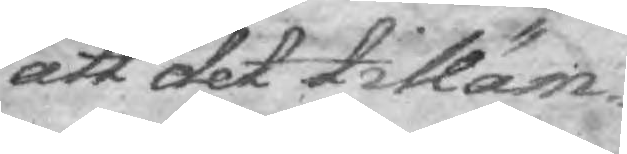att det tilläm¬
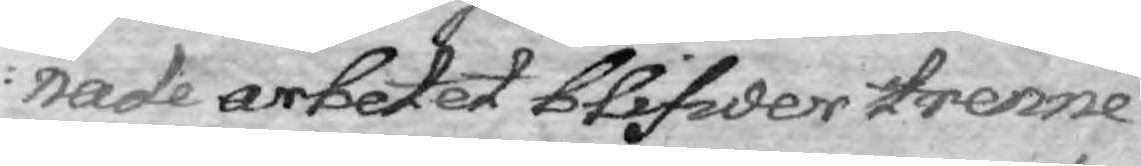nade arbetet blifwer trenne
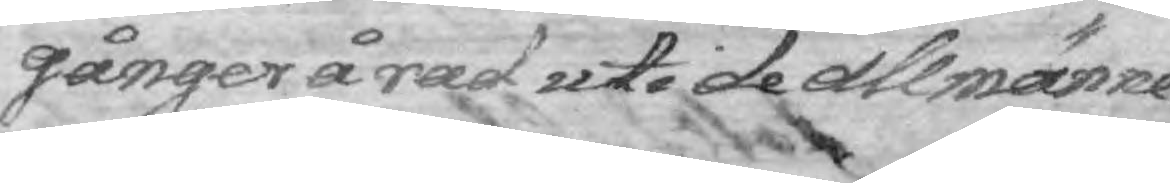gånger å rad uti de allmänne
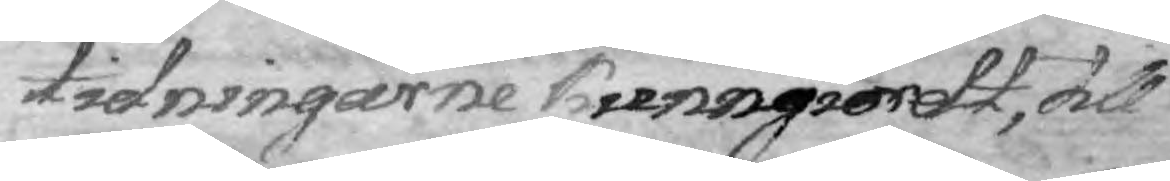tidningarne kunngiordt, till
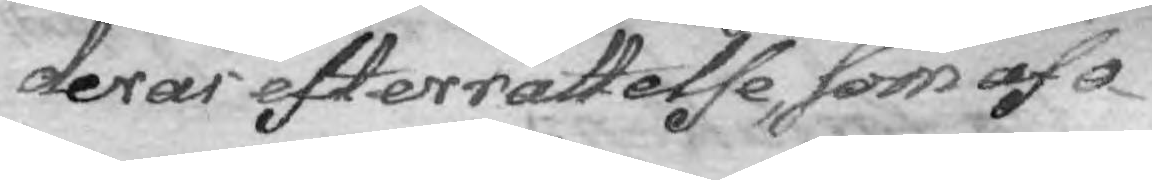deras efterrättelse, som af o¬
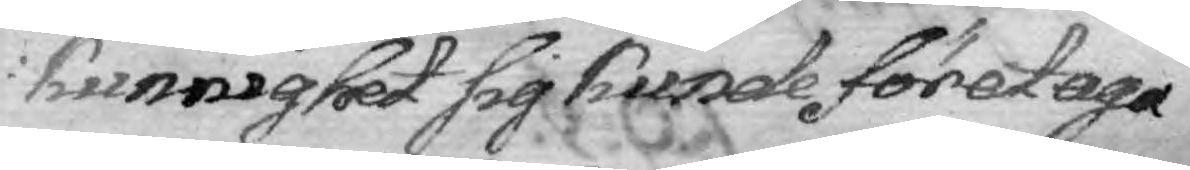kunnighet sig kunde företaga
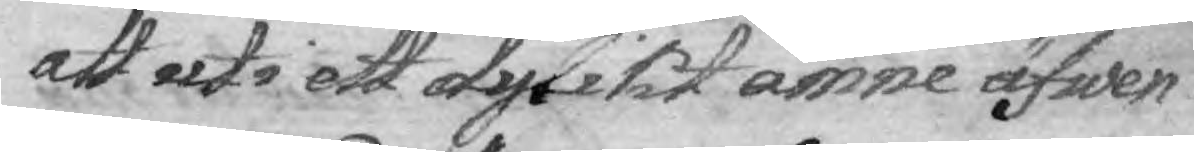att uti ett dylikt ämne äfwen
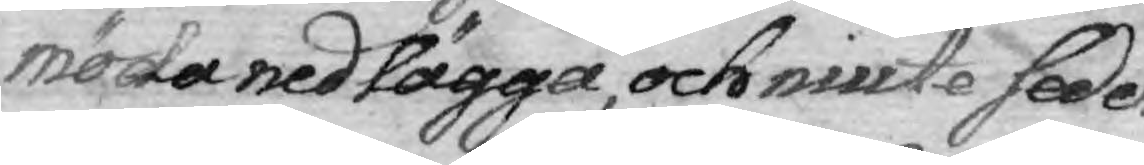möda nedlägga, och niute seder¬
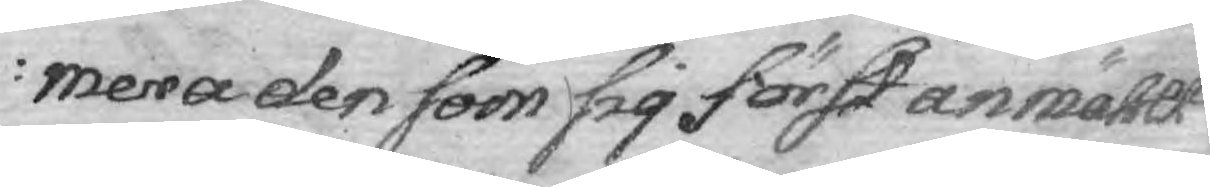mera den som sig först anmählt
